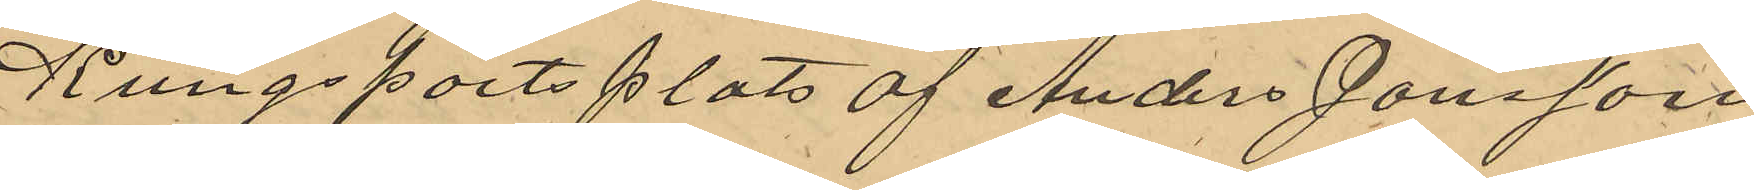Kungsportsplats af Anders Jonsson
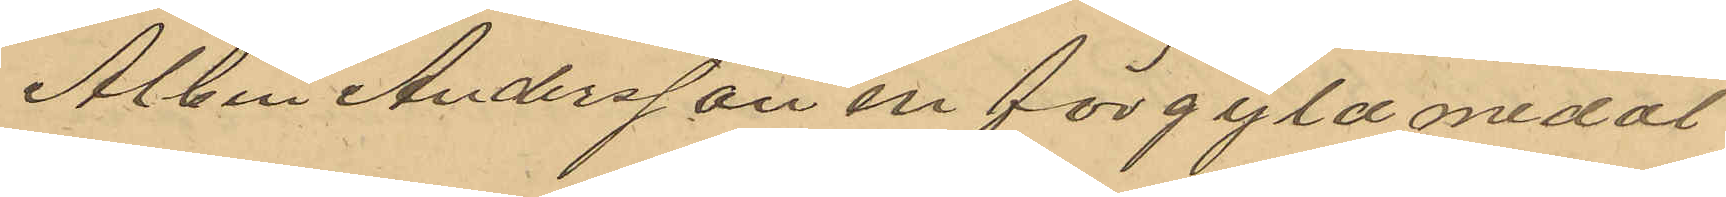Alben Andersson en förgyld medal
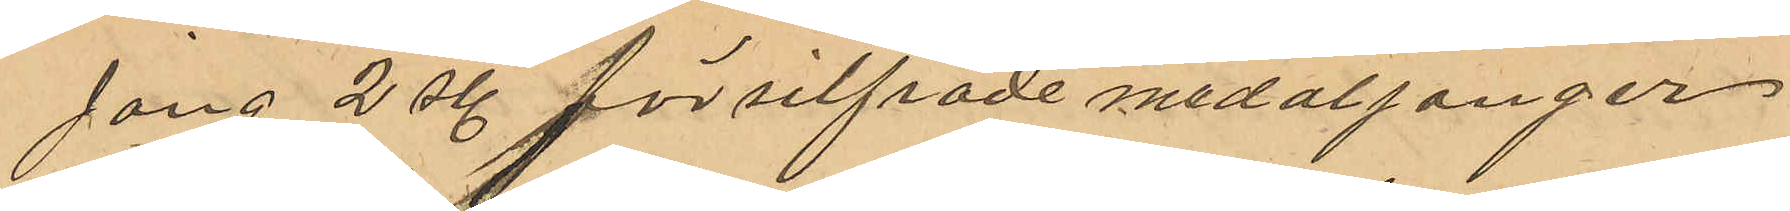jong 2 st försilfrade medaljonger
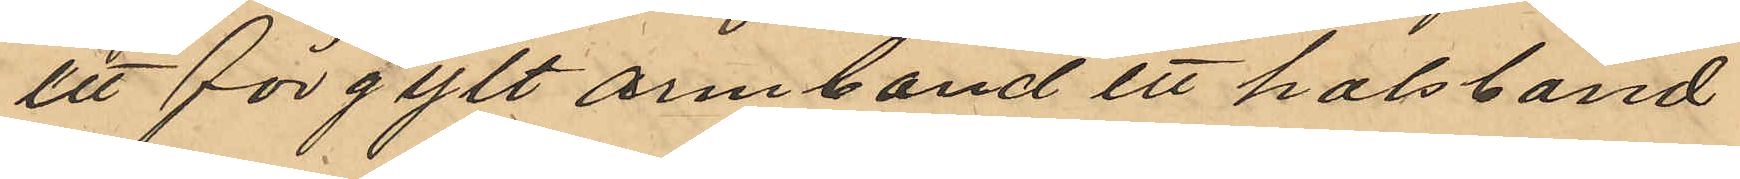ett förgylt armband ett halsband
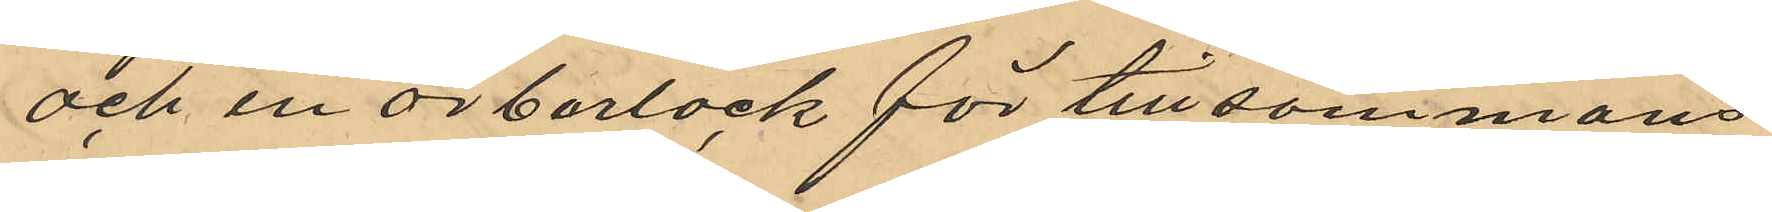och en örberlock för tillsammans
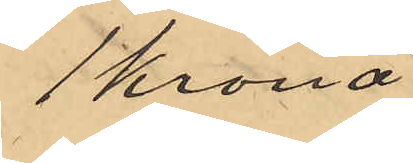1 krona
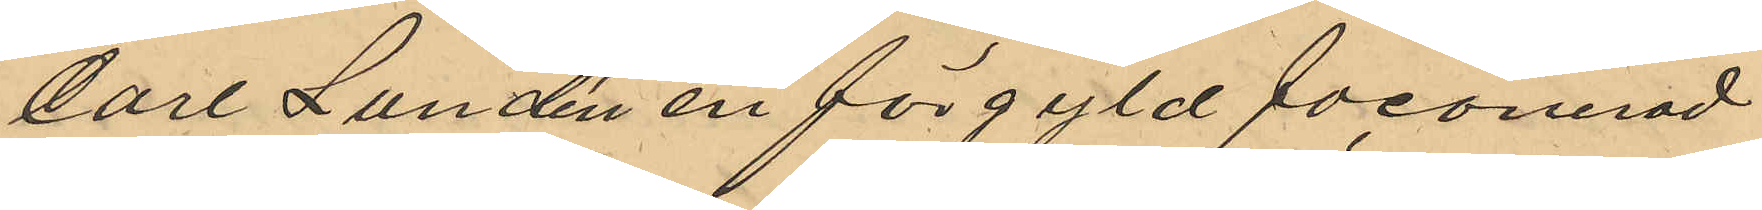Carl Lundén en förgyld faconerad
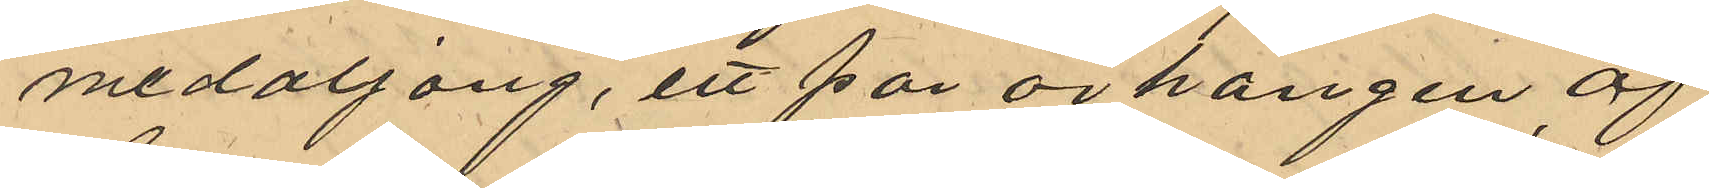medaljong, ett par örhängen af
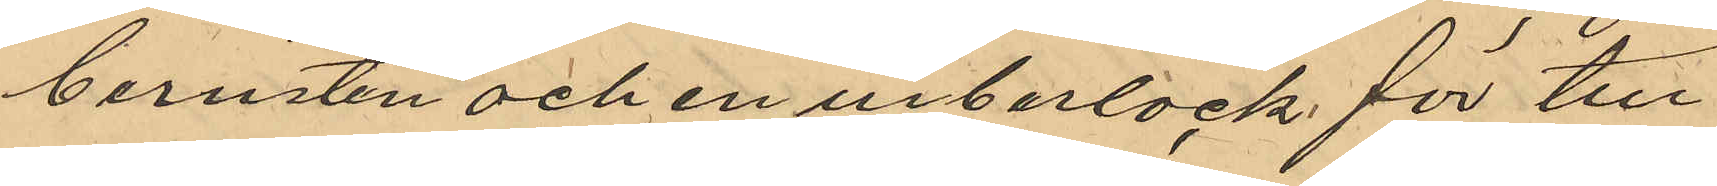bernsten och en urberlock för till
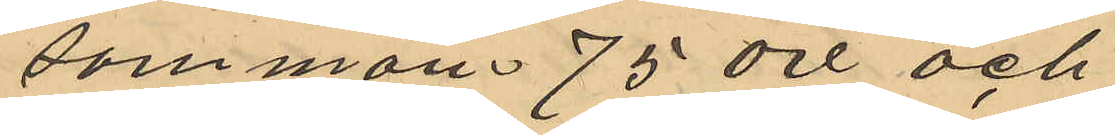sammans 75 öre och
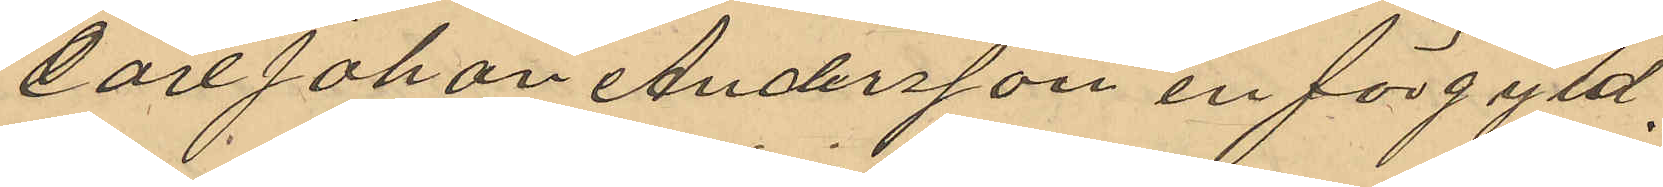Carl Johan Andersson en förgyld 
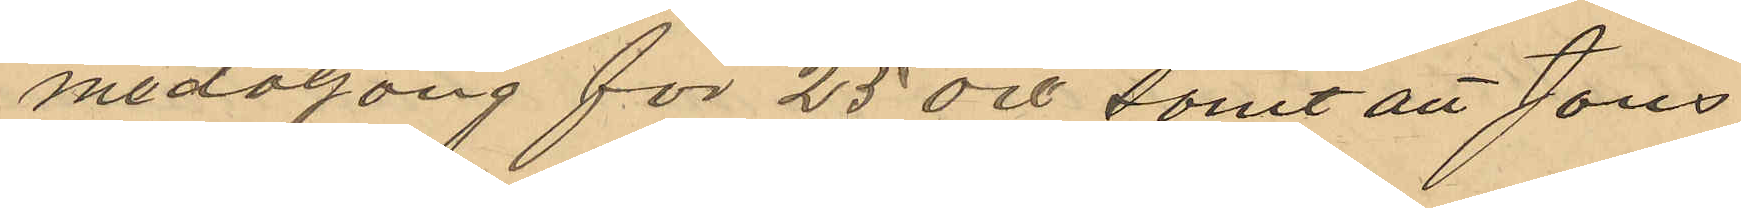medaljong för 25 öre, samt att Jöns
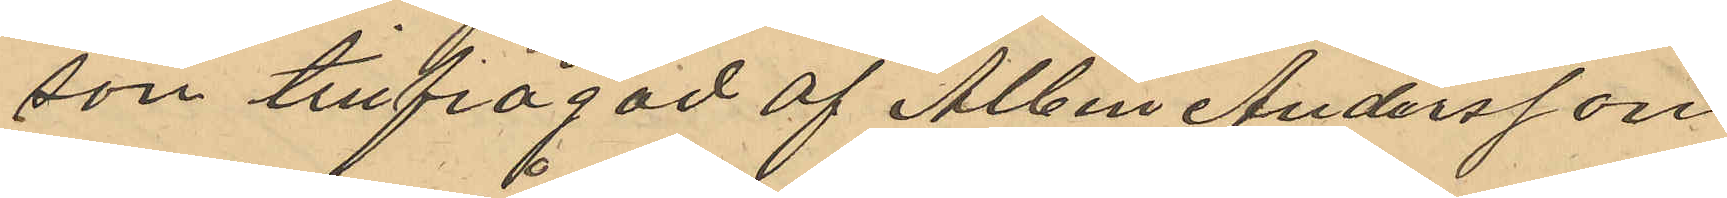son tillfrågad af Albin Andersson
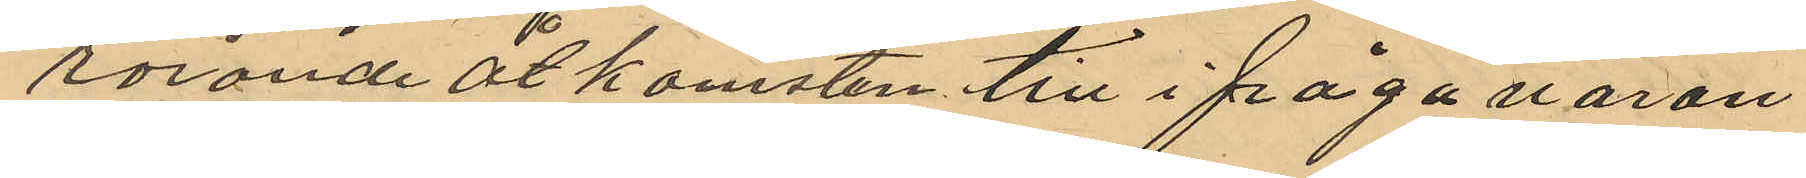rörande åtkomsten till ifråga varan
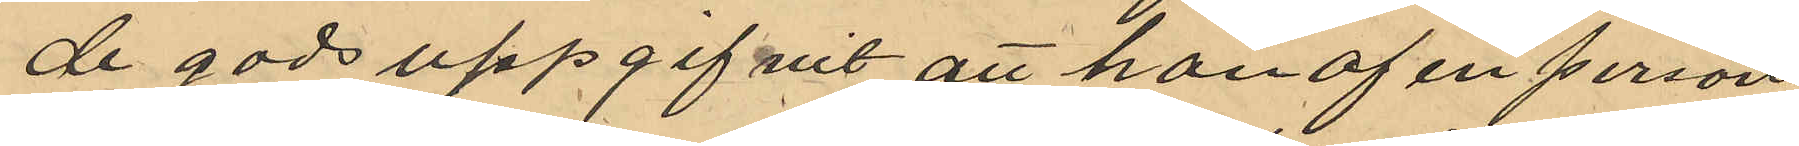de gods uppgifvit att han af en person
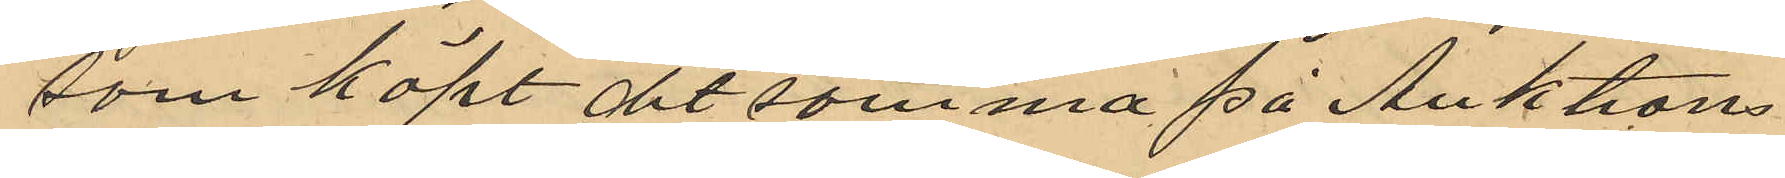som köpt det samma på Auktions
